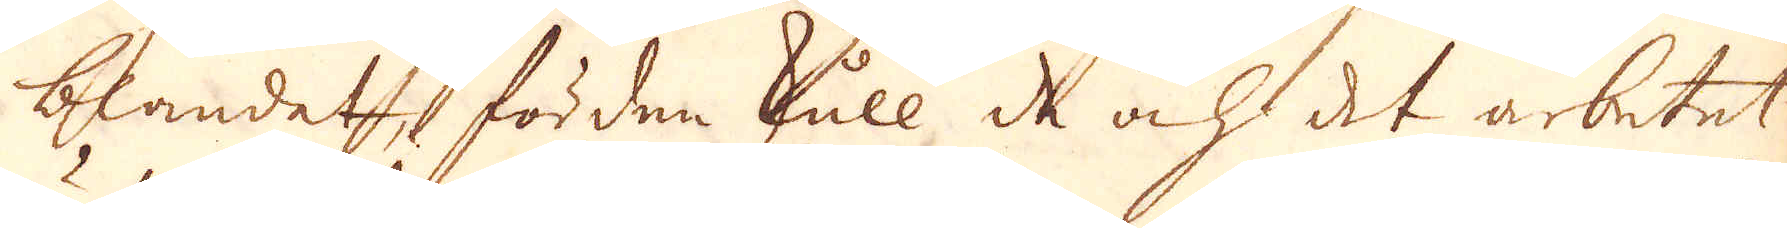blandet, förden skull de och det arbetet
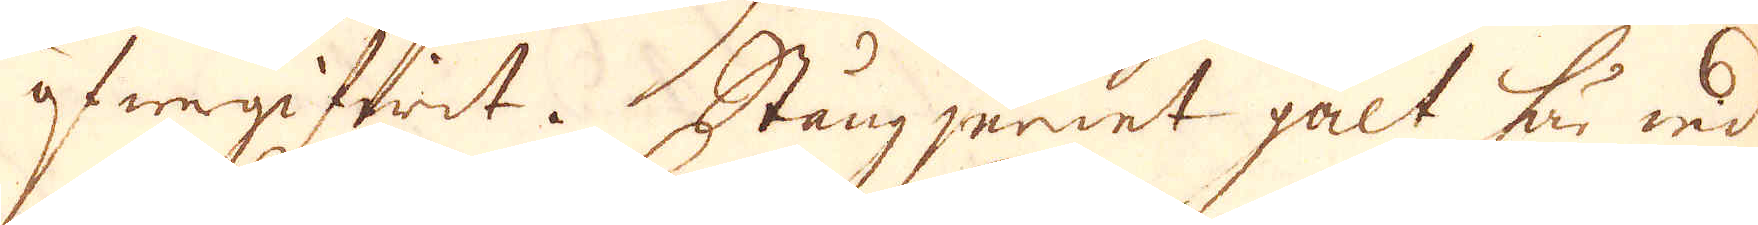öfwergifwidt. Stångjernet galt för wid
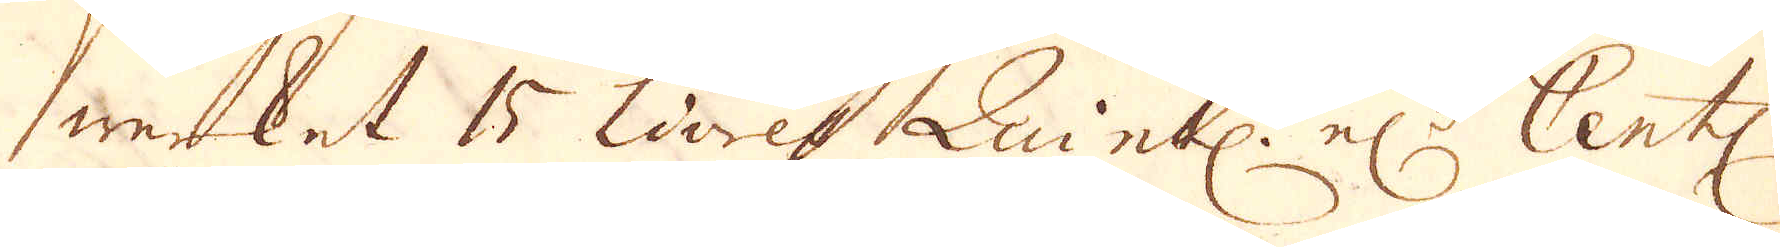werket 15 Livres Quintl. el:r Centn.
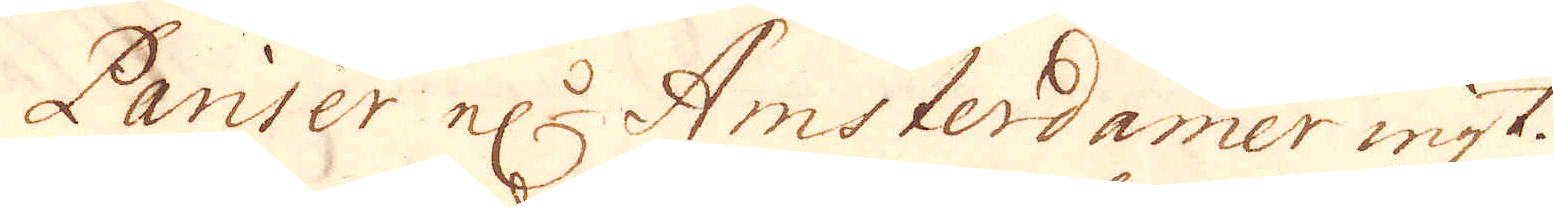Pariser el:r Amsterdamer wigt.
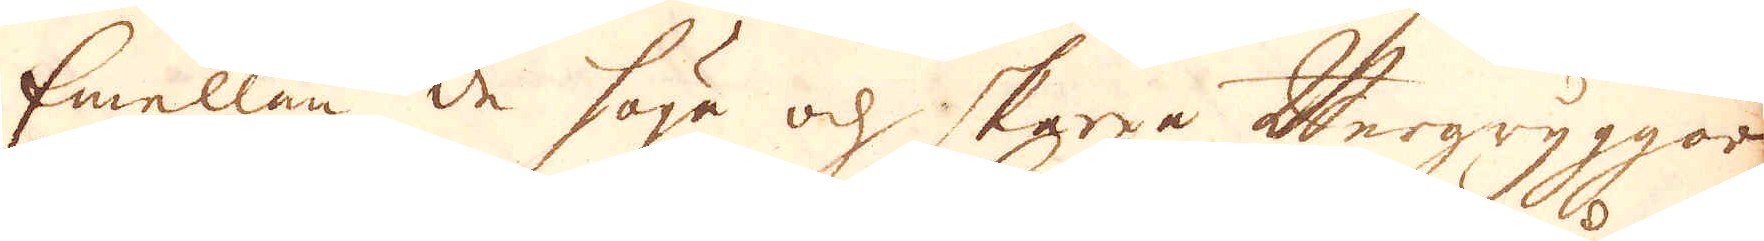Emellan de höge och skarpa bergryggor,
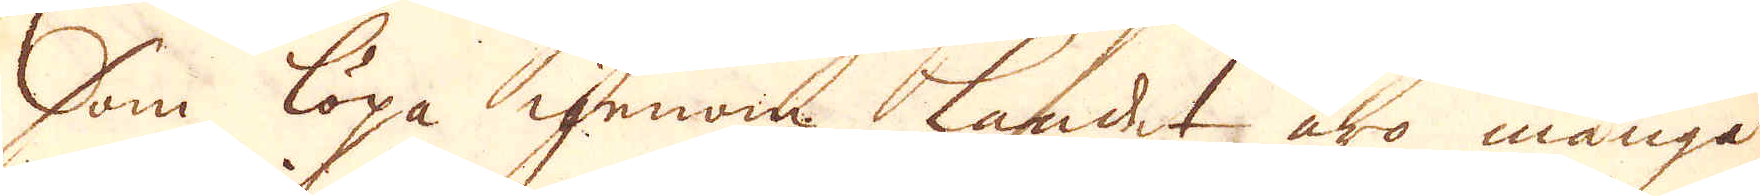som löpa igenom landet äro många
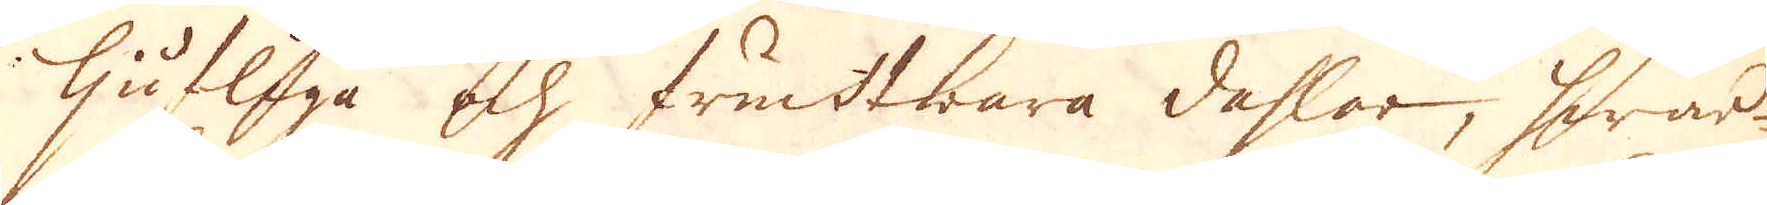ljufliga och fruktbara dahlar, hwar-
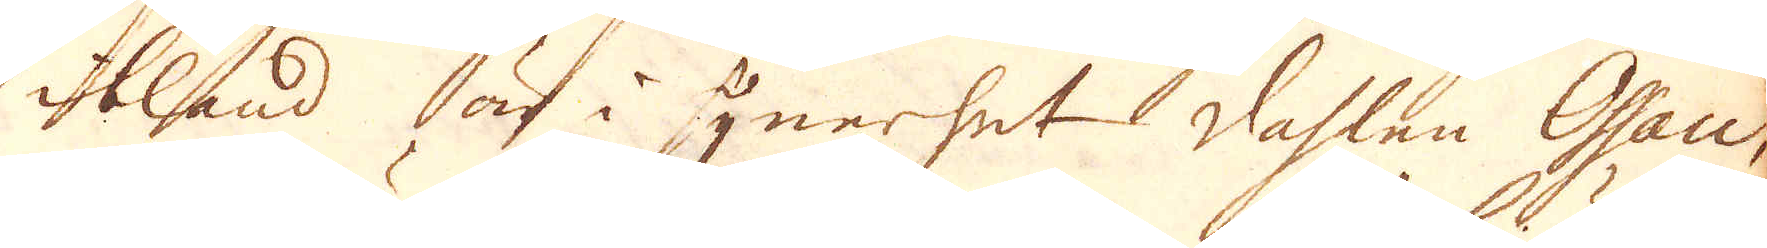ibland är i synerhet dahlen Ossau,
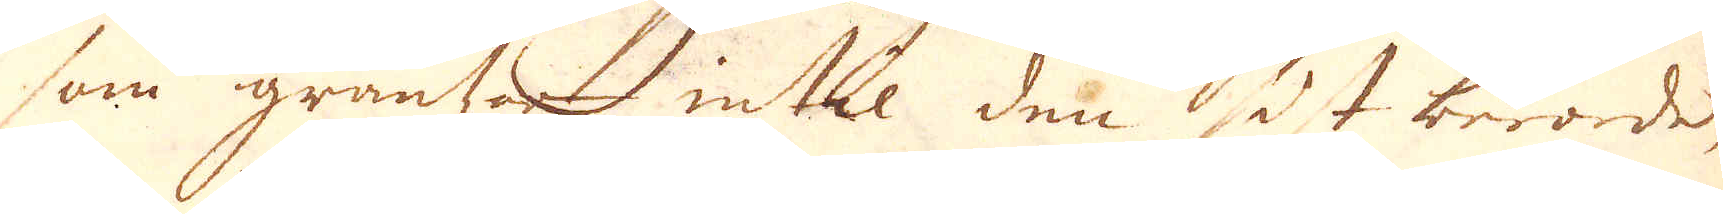som gräntzar intil den sist berörde,
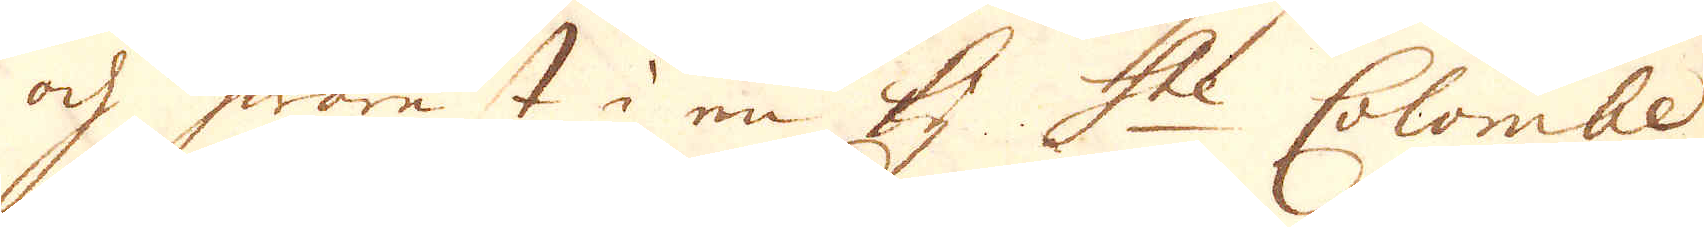och hwarest i en By S:te Colombe
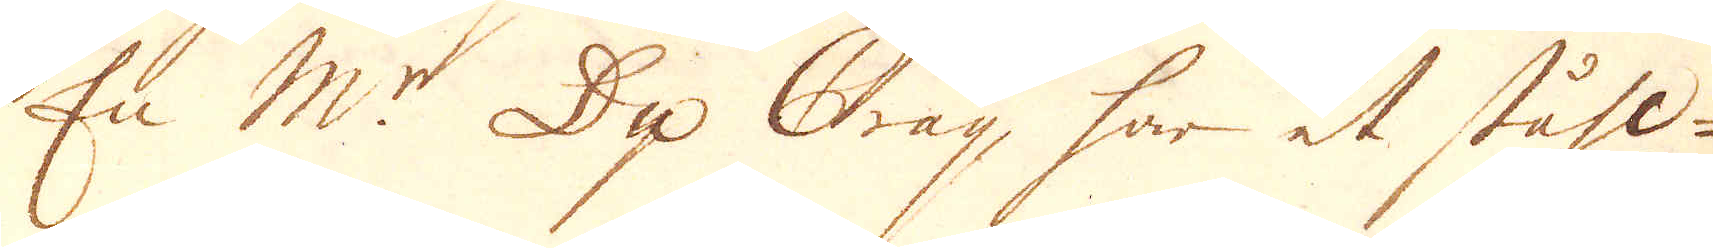En M:r Du Oray, har et ståhl-
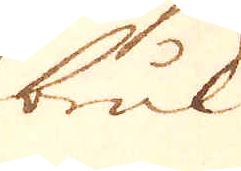bruk
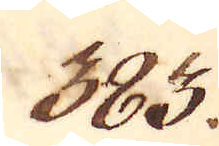383.
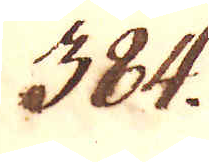384.
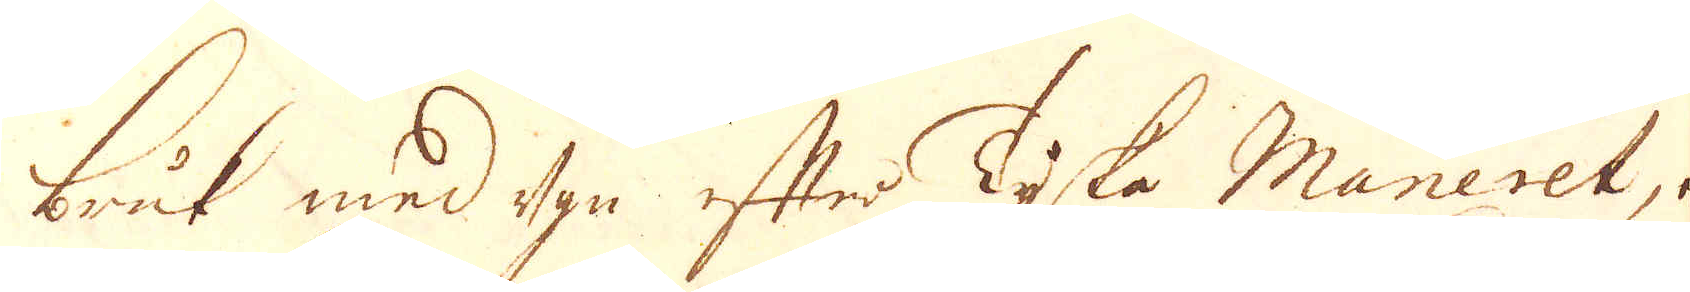bruk med ugn efter Tyska Maneret, och
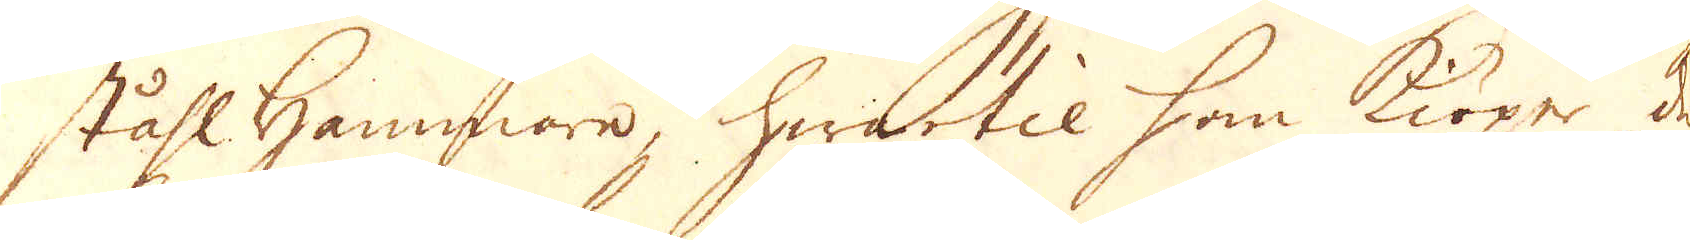ståhlhammare, hwartil han kiöper det
